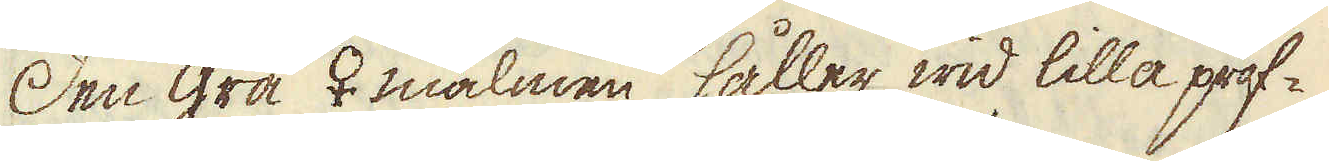Den grå ♀ malmen håller wid lilla prof-
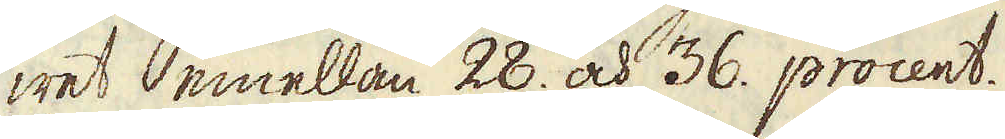wet emellan 28. och 36. procent.
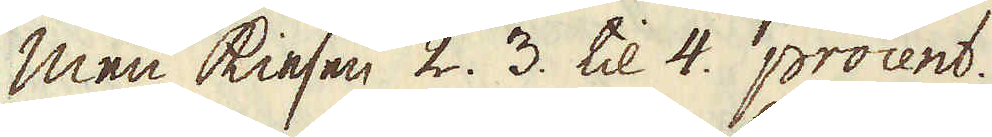Men kiesen 2. 3. til 4. procent.
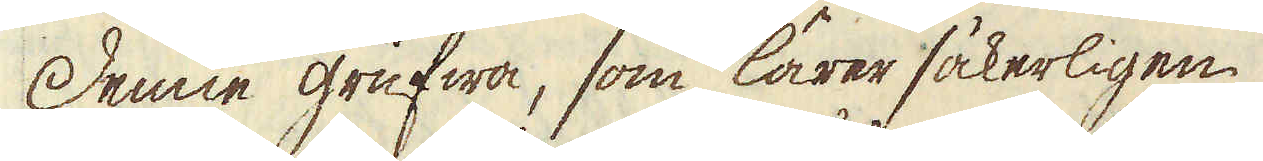Denne grufwa, som lärer säkerligen
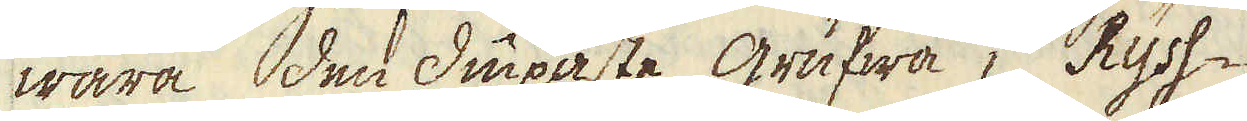wara den diupaste grufwa i Ryss-
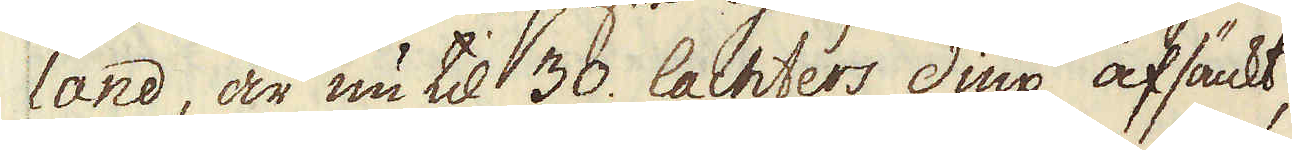land är nu til 30. lachters diup, afsänkt,
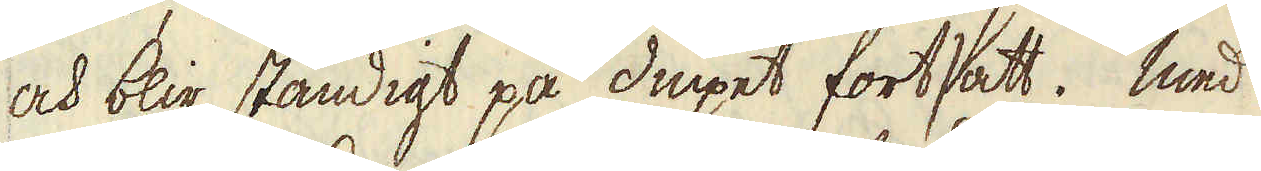och blir ständigt på diupet fortsatt. Med
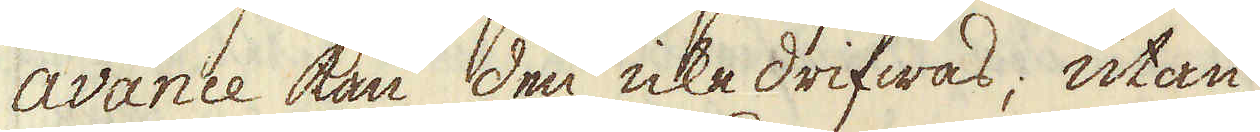avance kan den icke drifwas, utan
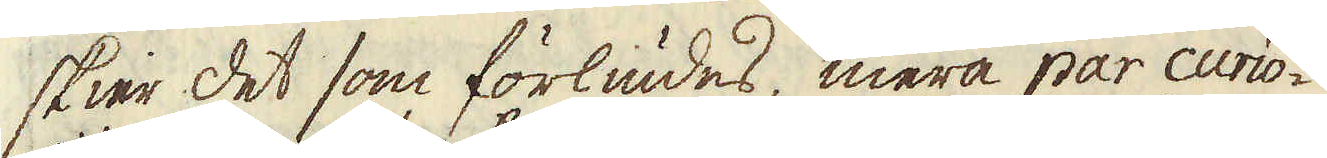skier det som förliudes, mera par curio-
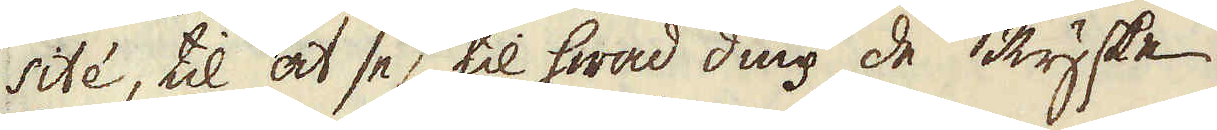sité, til at se, til hwad diup de Ryske
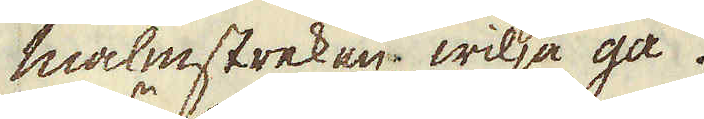malmstreken wilja gå.
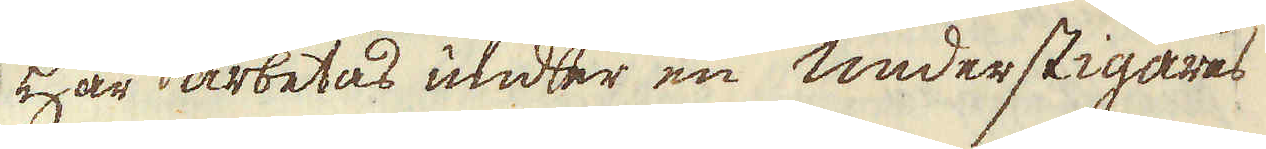Här arbetas under en Understigares
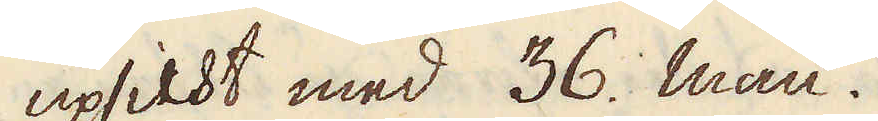upsicht med 36. man.
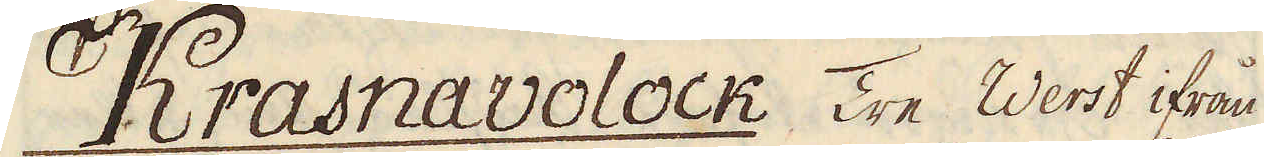Krasnavolock Tre Werst ifrån
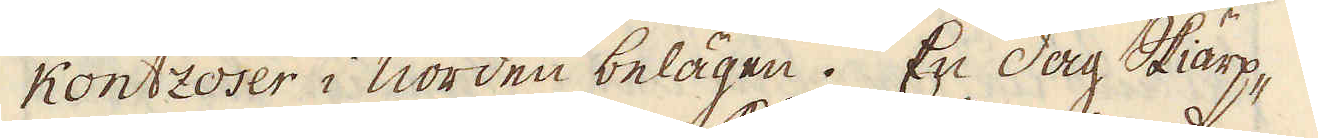Kontzoser i Norden belägen. En dag Skiärp-
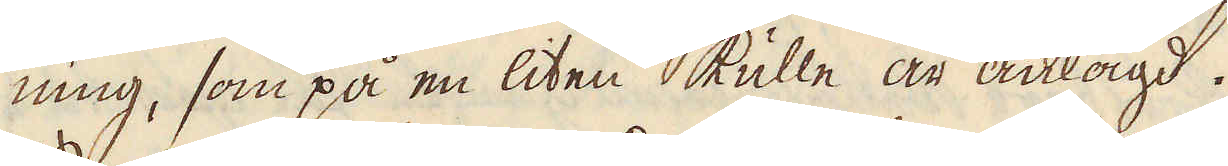ning, som på en liten kulle är anlagd.
